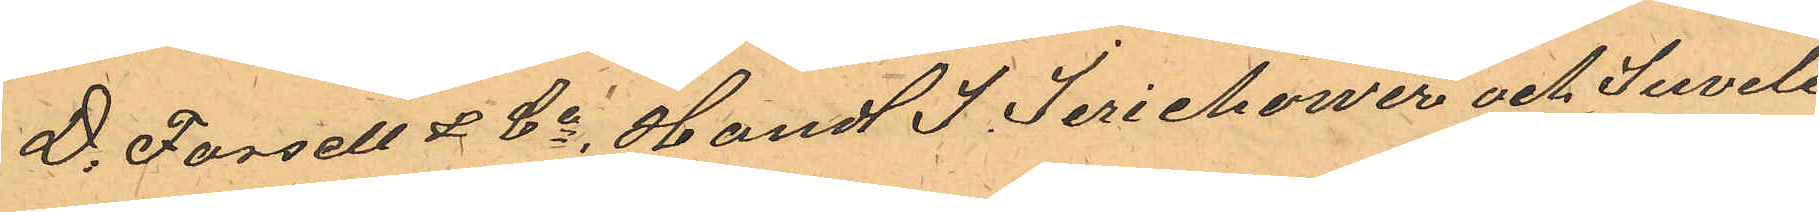D. Forsell & Co, Handl J. Jerichower och Juvele¬
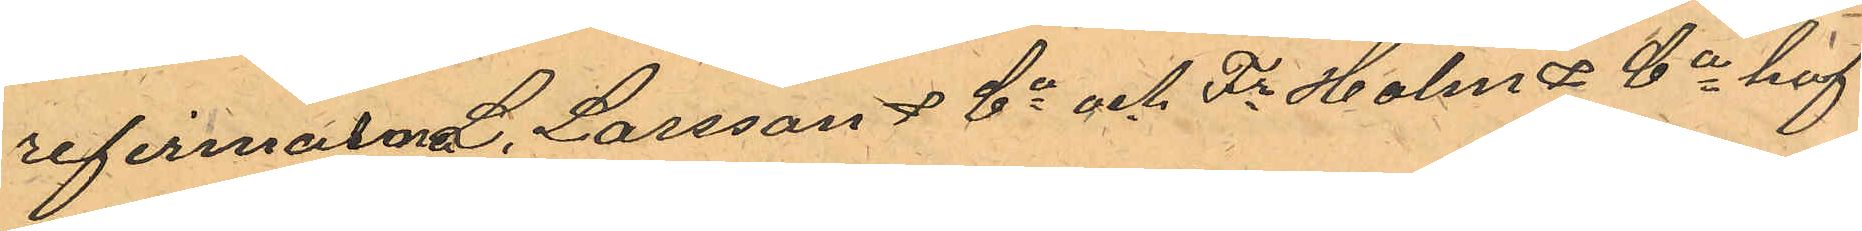refirmarne L. Larsson & Co och Fr Holm & Co haf¬
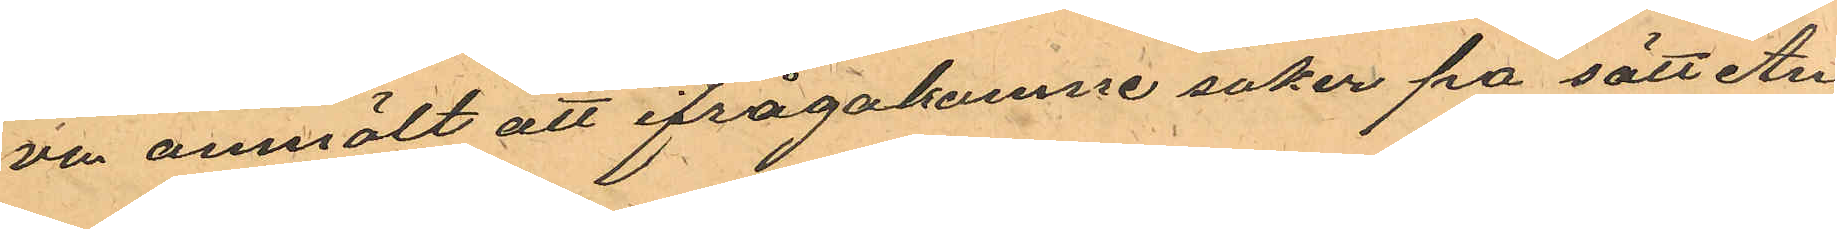va anmält att ifrågakomne saker pa sätt An¬
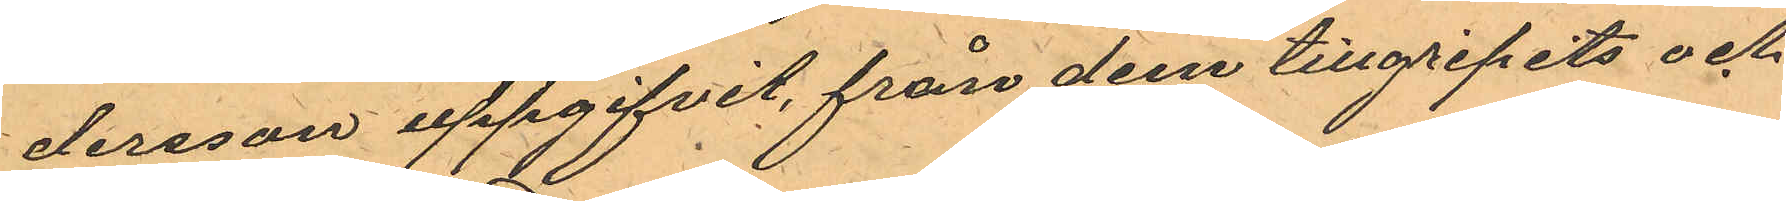dersson uppgifvit, från dem tillgripits och
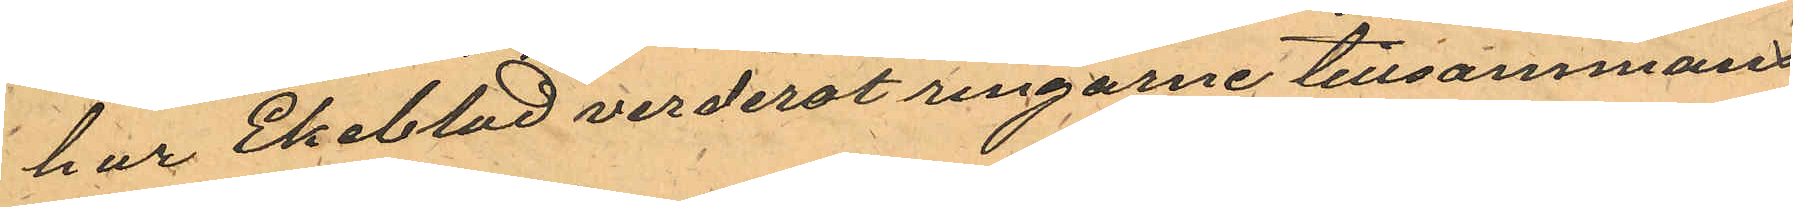har Ekeblad verderat ringarne tillsammans
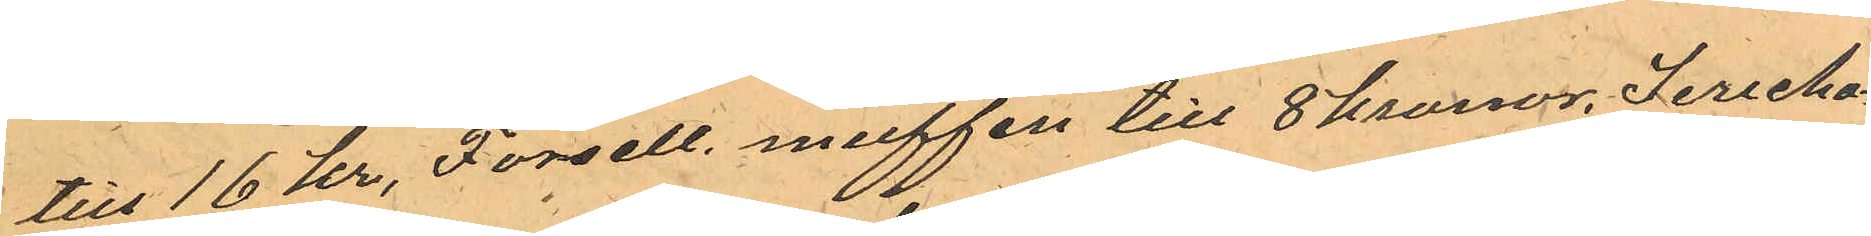till 16 kr, Forsell muffen till 8 kronor, Jericho¬
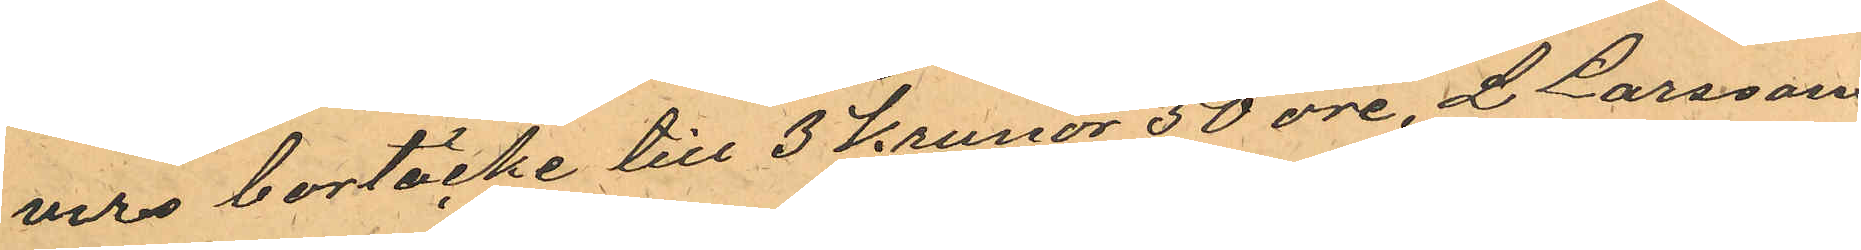wers bortäcke till 3 Kronor 50 öre, L Larssons
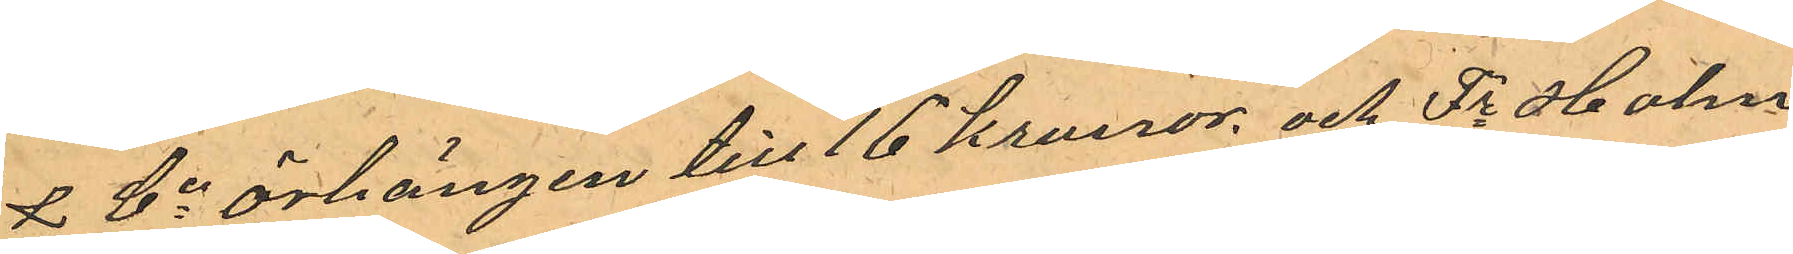& Co örhängen till 16 Kronor och Fr Holm
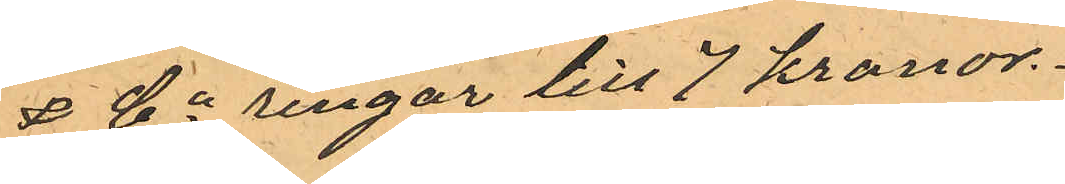& Co ringar till 7 kronor.
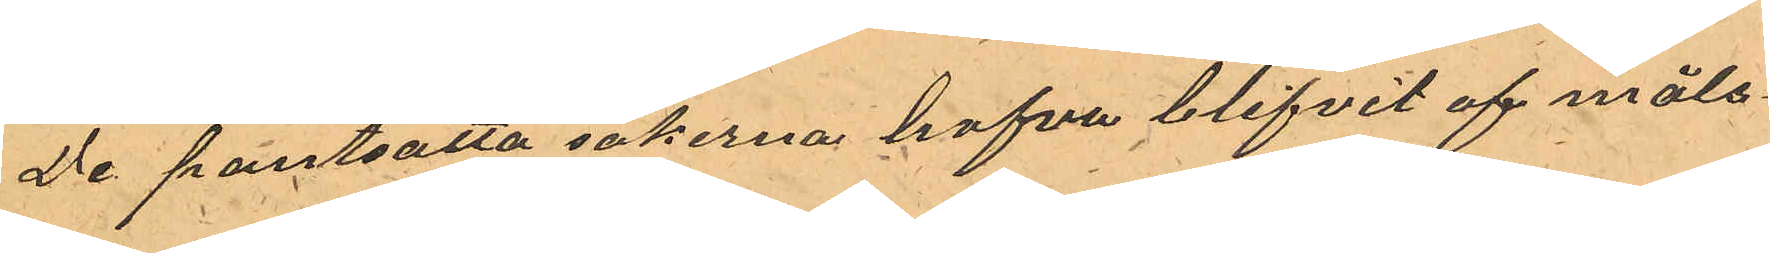De pantsatta sakerna hafva blifvit af måls¬
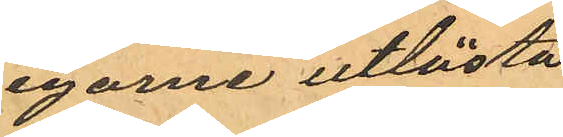egarne utlösta
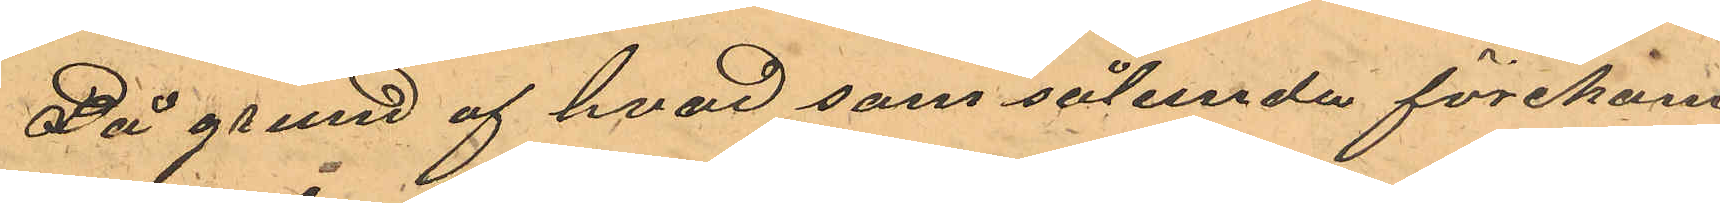På grund af hvad som sålunda förekom¬
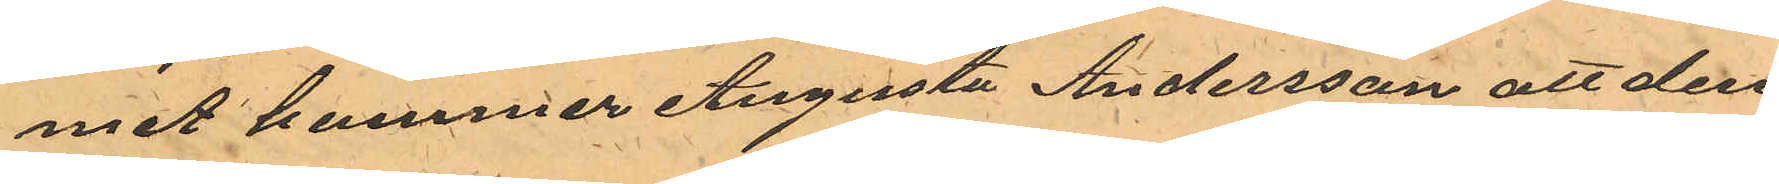mit kommer Augusta Andersson att den¬
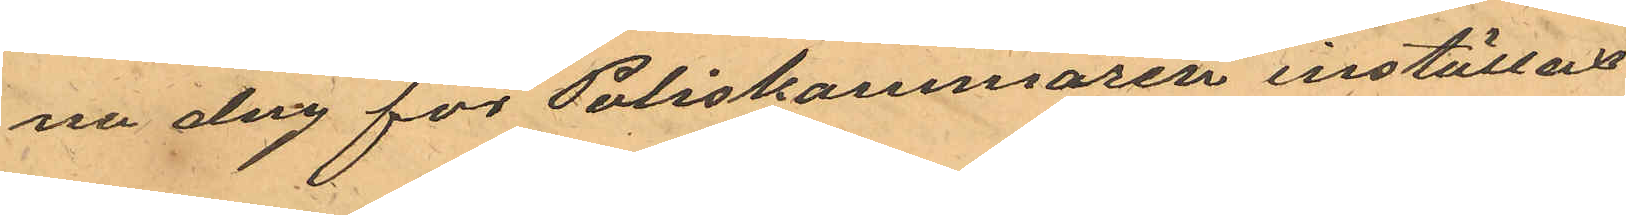na dag för Poliskammaren inställas
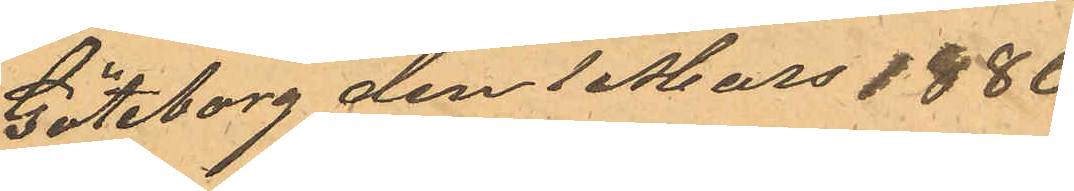Göteborg den 1 Mars 1880
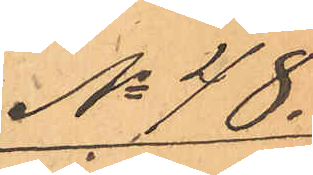Nr 48.
